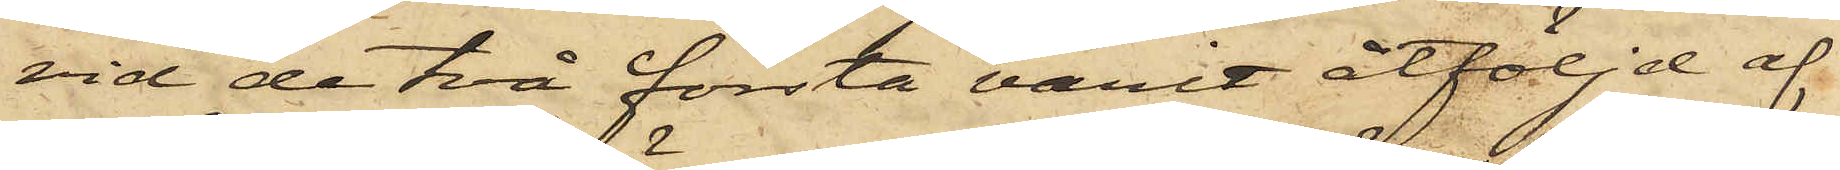vid de två första varit åtföljd af
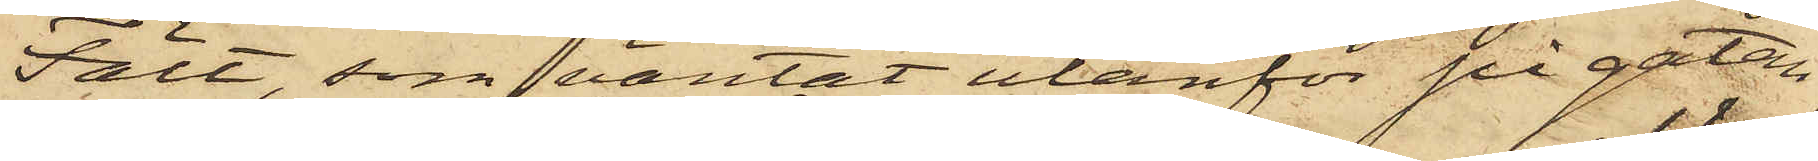Fält, som väntat utanför på gatan
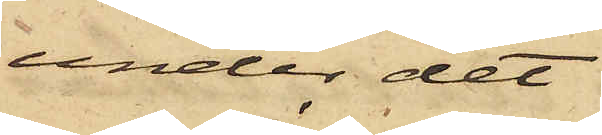under det
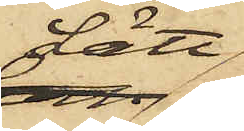Lätt
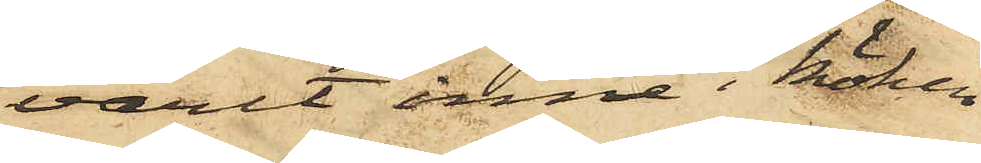varit inne i köken
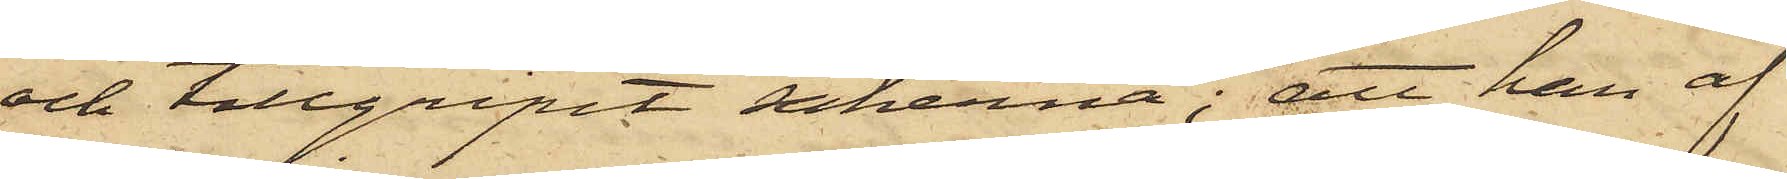och tillgripit sakerna; att han af
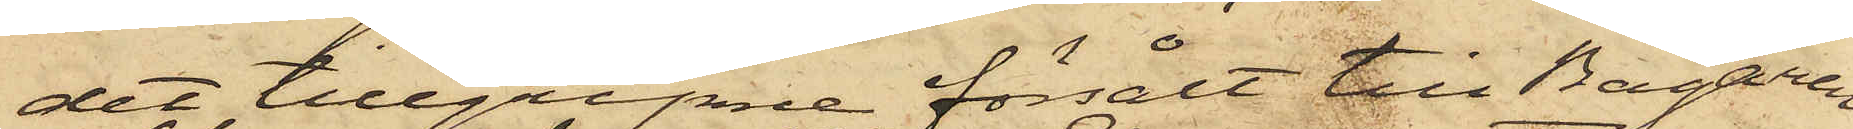det tillgripne försålt till Bagaren
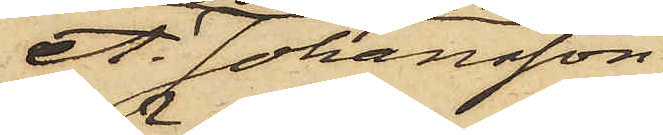A. Johansson
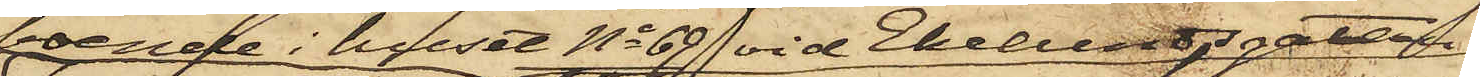boende i huset No 69 vid Ekelundsgatan
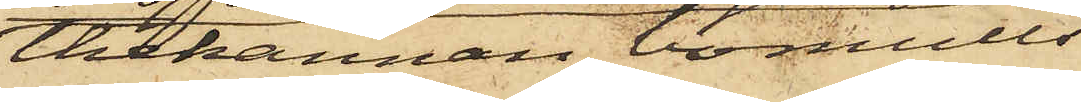thekannan, bomulls¬
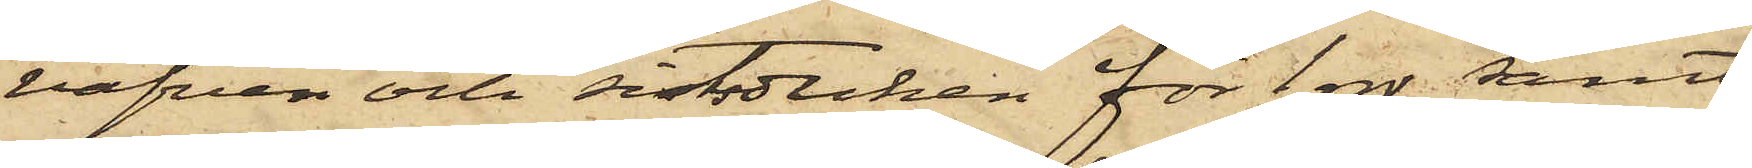väfven och sitsduken för 1 rdr samt
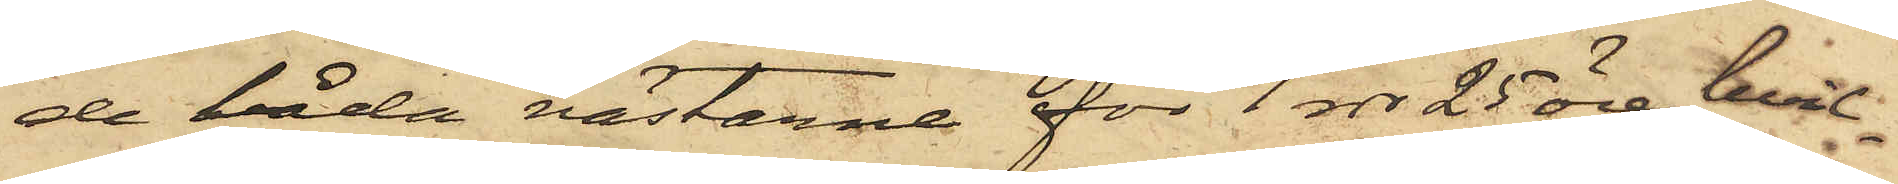de båda västarne för 1 rdr 25 öre, hvil¬
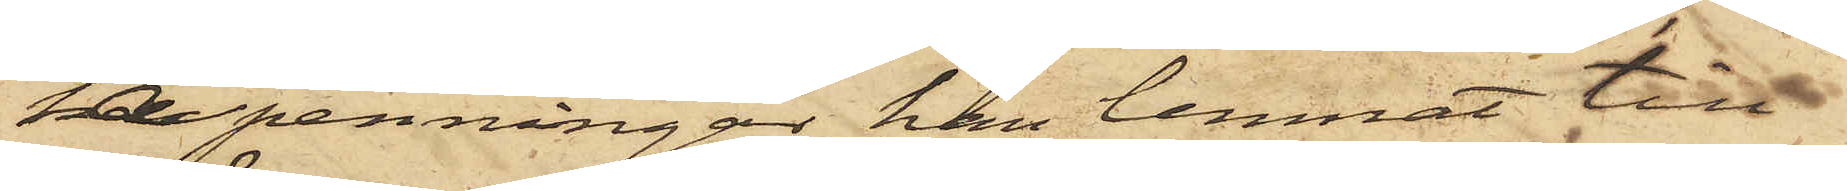ka penningar han lemnat till
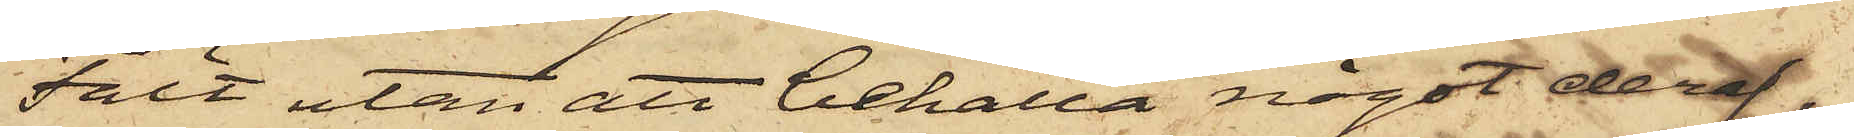Fält utan att behålla något deraf,
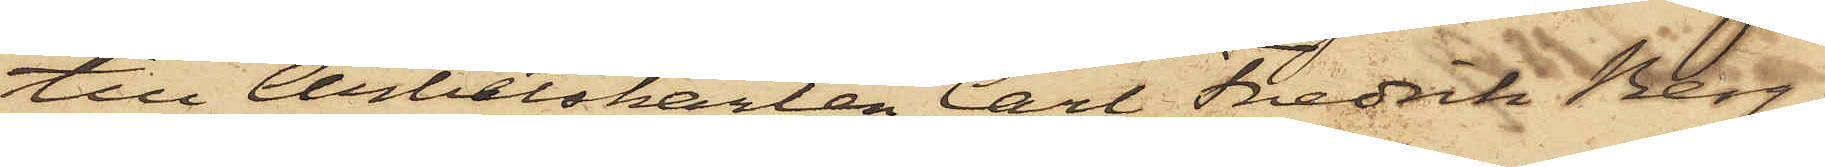till Arbetskarlen Carl Fredrik Berg¬
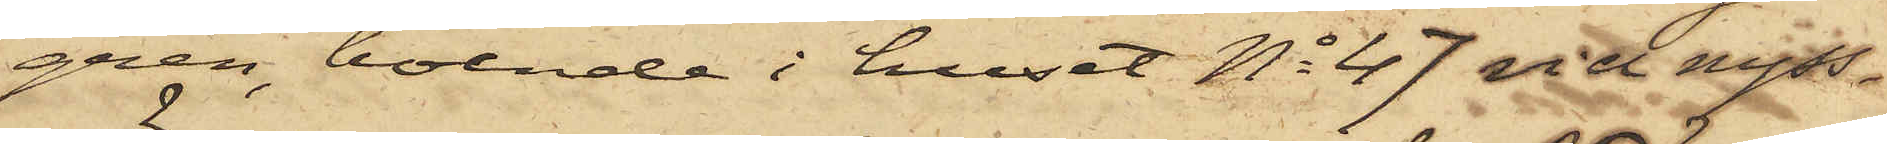gren, boende i huset No 47 vid nyss¬
